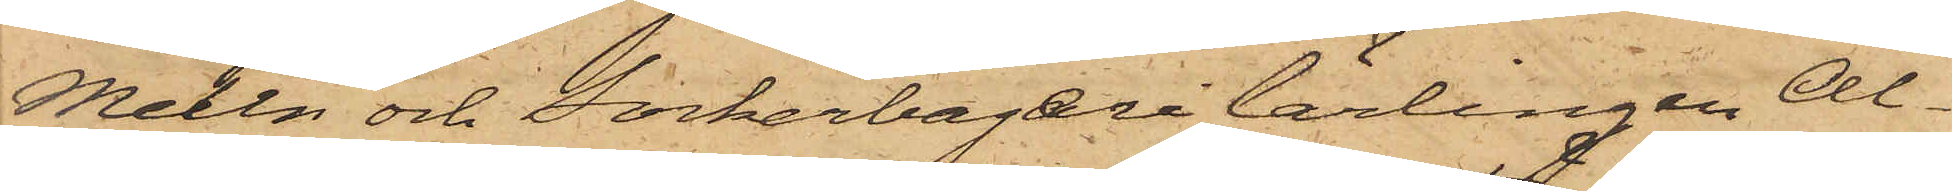Melin och Sockerbagerilärlingen Al¬
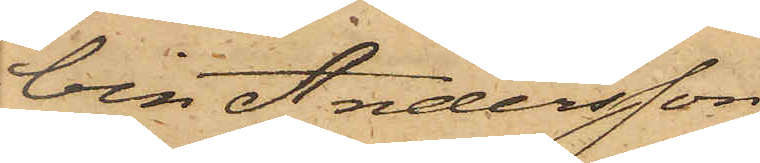bin Andersson
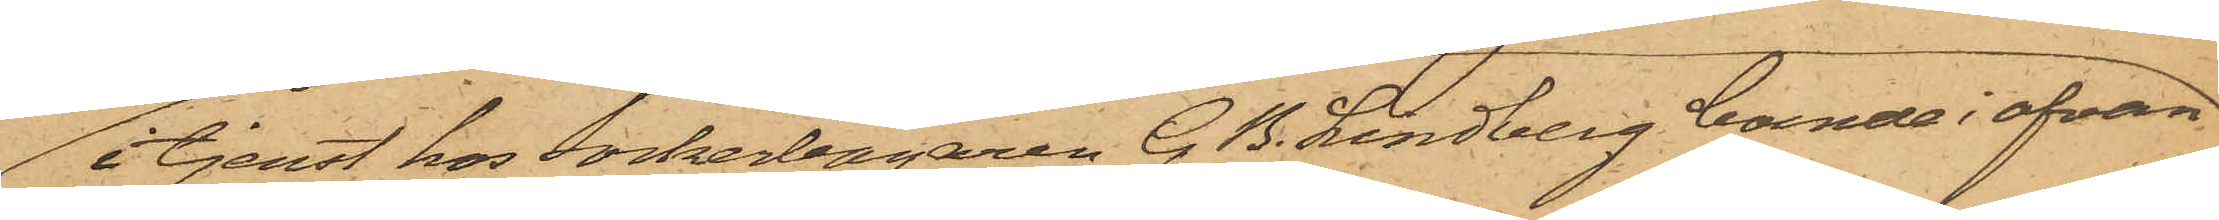 i tjenst hos Sockerbagaren G. B. Lindberg boende i ofvan¬
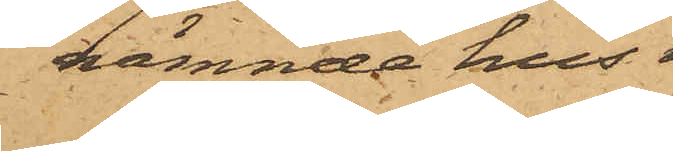nämnde hus,
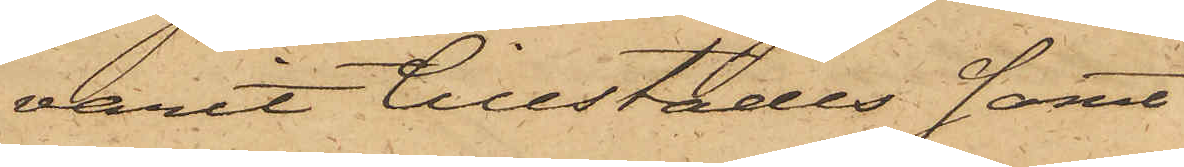varit tillstädes samt
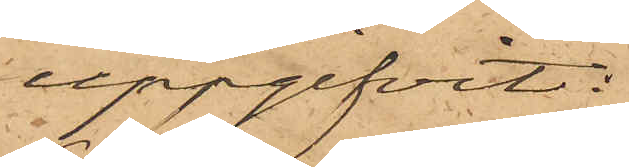uppgifvit:
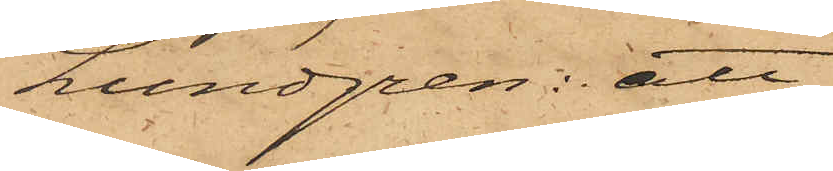Lundgren: att
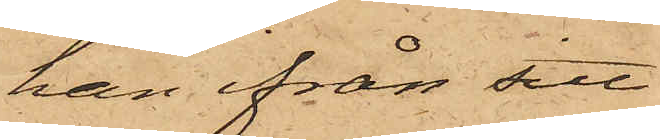han ifrån sitt
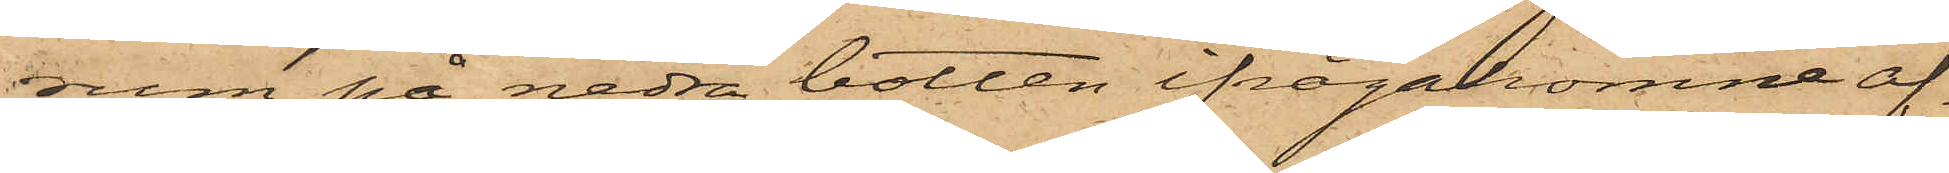rum på nedra botten ifrågakomne af¬
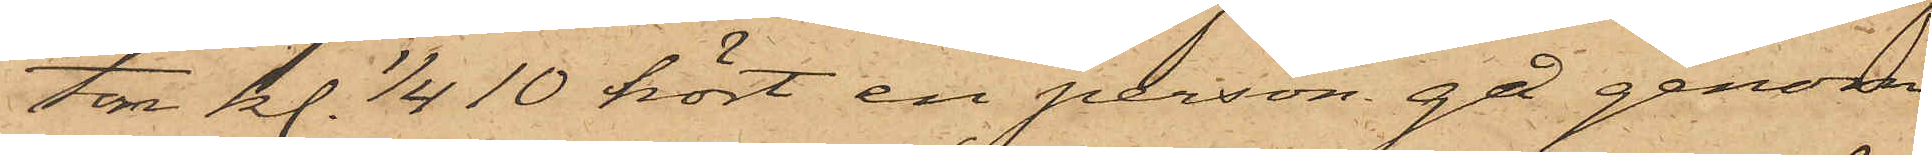tor kl. 1/4 10 hört en person gå genom
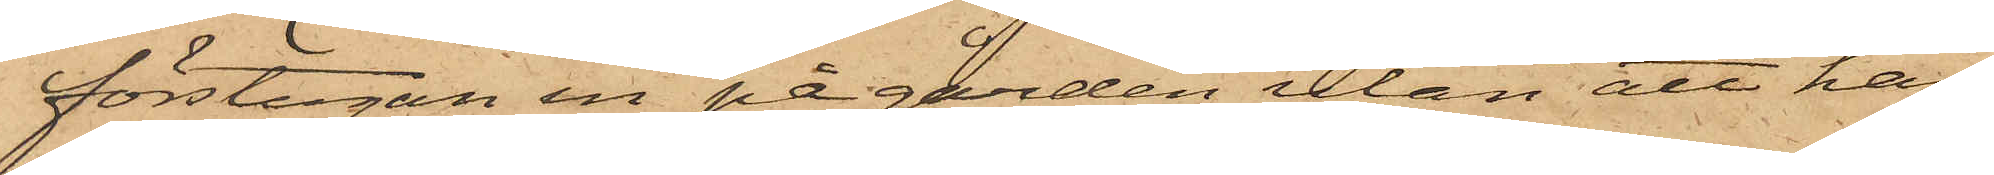förstugan in på gården utan att han
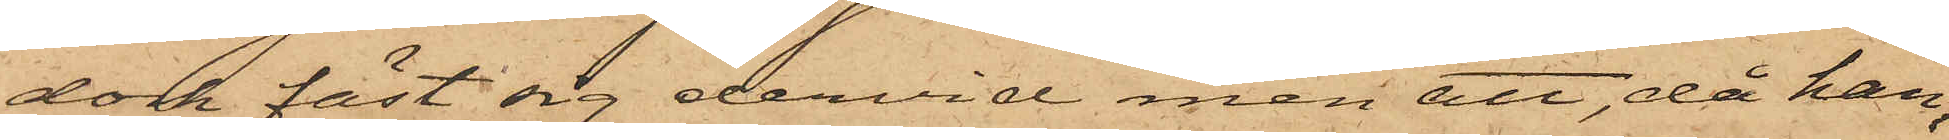dock fäst sig dervid men att, då han,
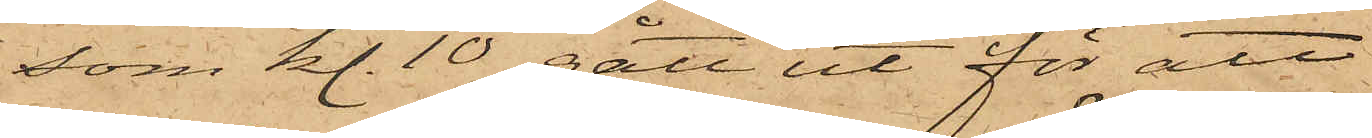som kl. 10 gått ut för att
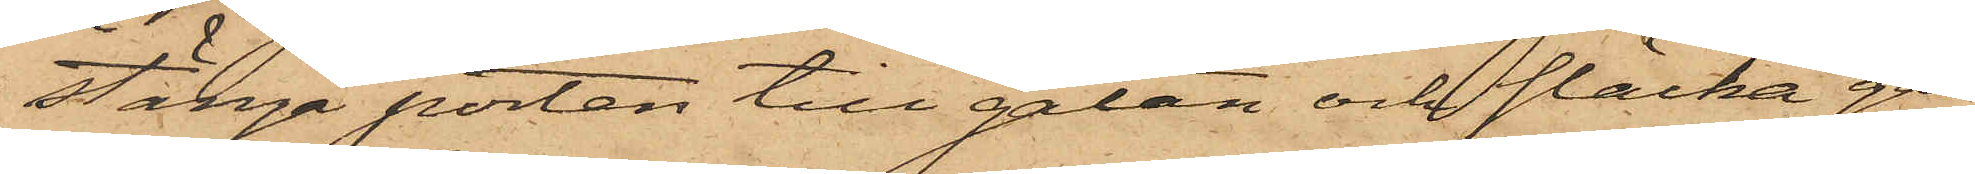stänga porten till gatan och släcka ga¬
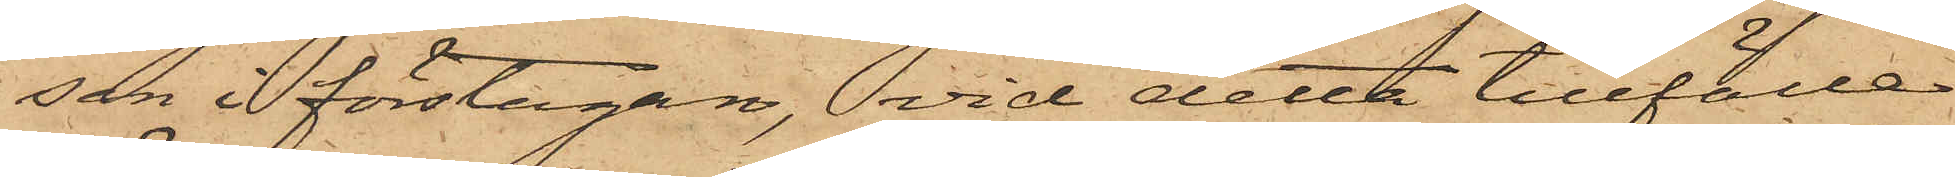sen i förstugan, vid detta tillfällen
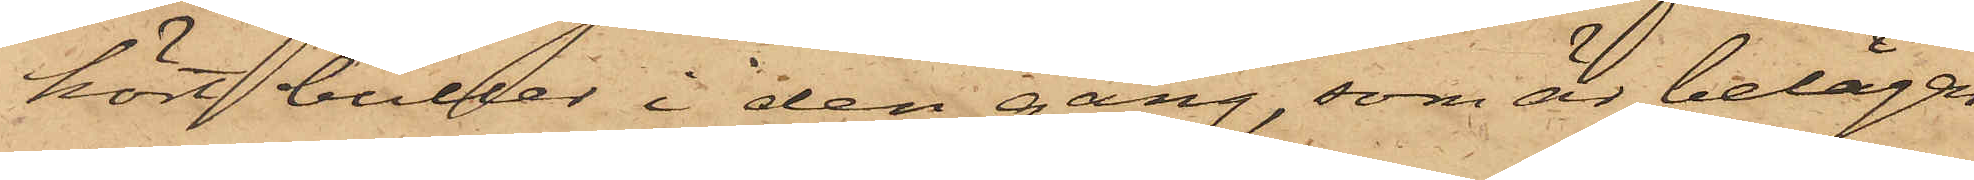hört buller i den gång, som är belägen
